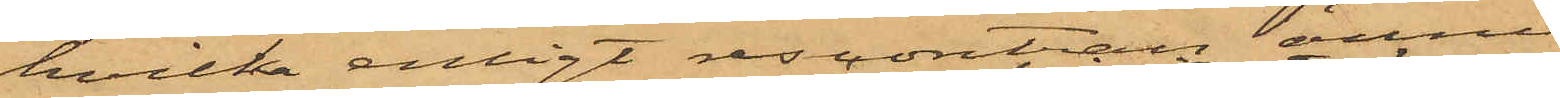hvilka enligt reskontran ännu
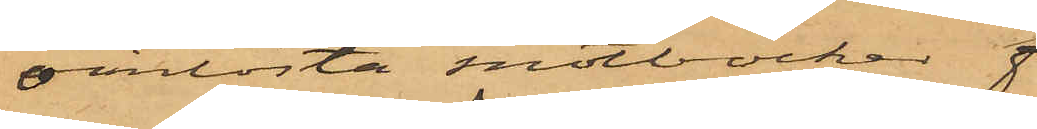oinlösta motböcker
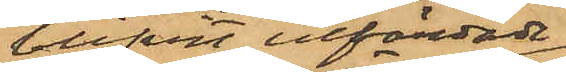blifvit utfärdade
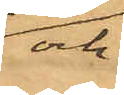och
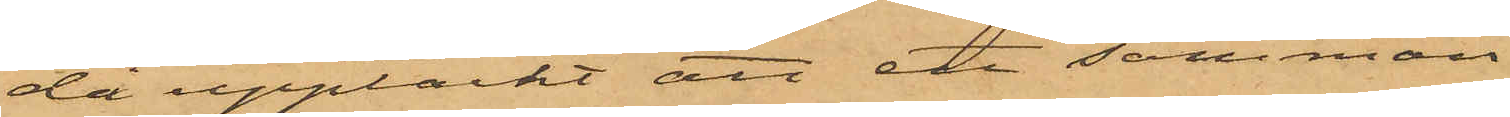då upptäckt att ett samman¬
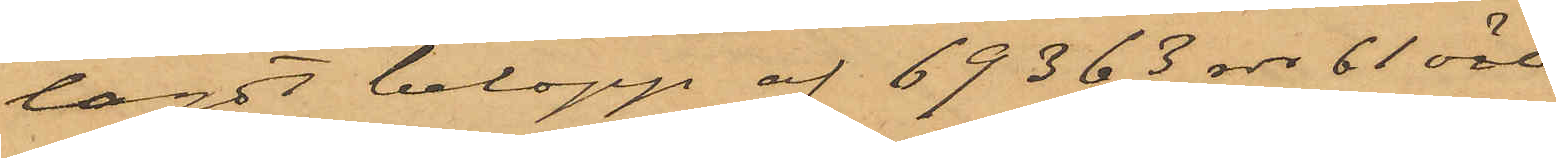lagdt belopp af 69363 rdr 61 öre
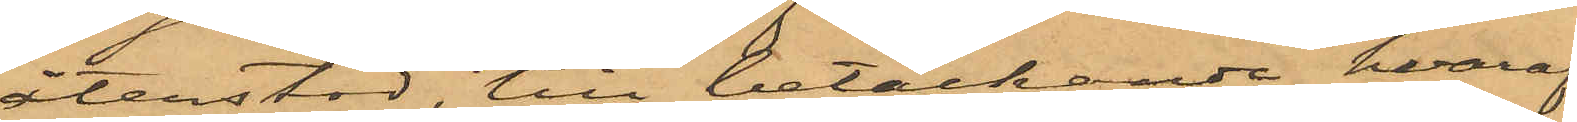återstod, till betäckande hvaraf
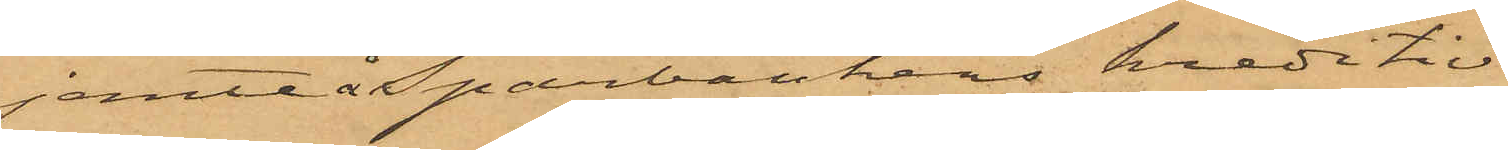jemte å Sparbankens kreditiv
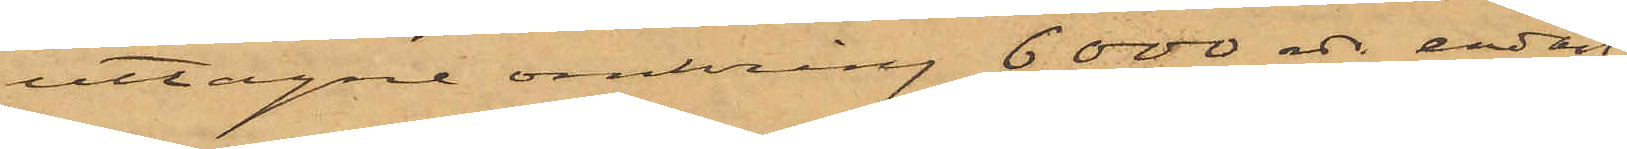uttagne omkring 6000 rdr endast
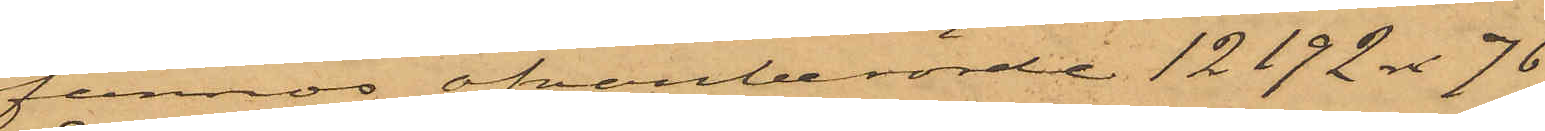funnos ofvanberörde 12192 rdr  76
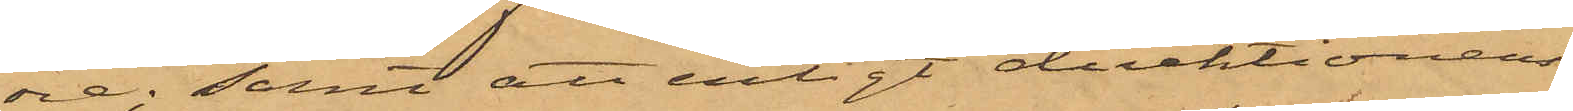öre; samt att enligt direktionens
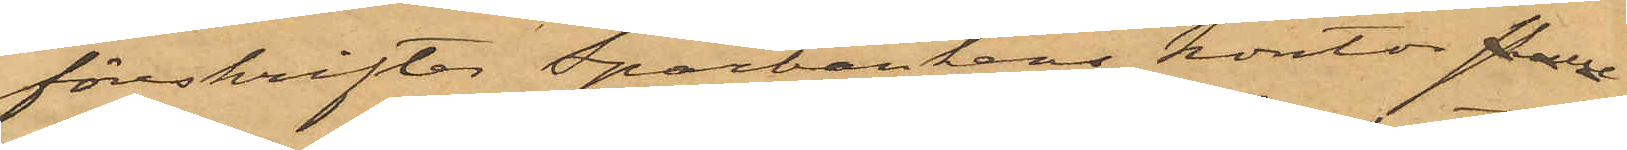föreskrifter Sparbankens kontor fälne
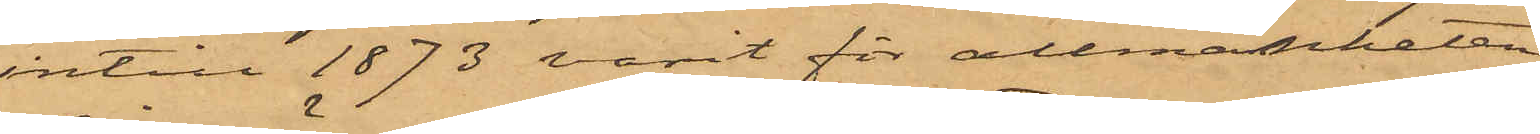intill 1873 varit för allmänheten
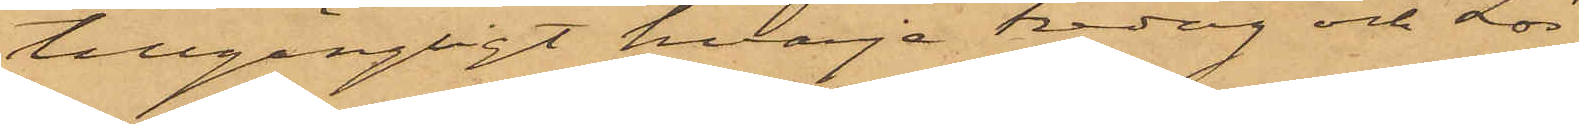tillgängligt hvarje Fredag och Lör¬
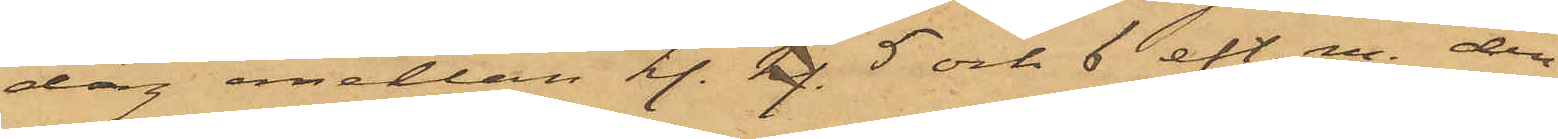dag emellan kl. kg. 5 och 6 eft. m. den
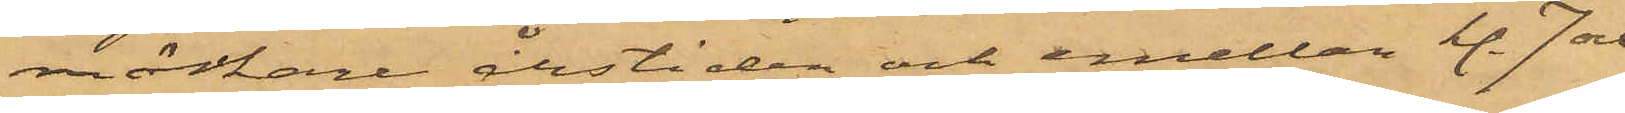mörka årstiden och emellan kl. 7 och
